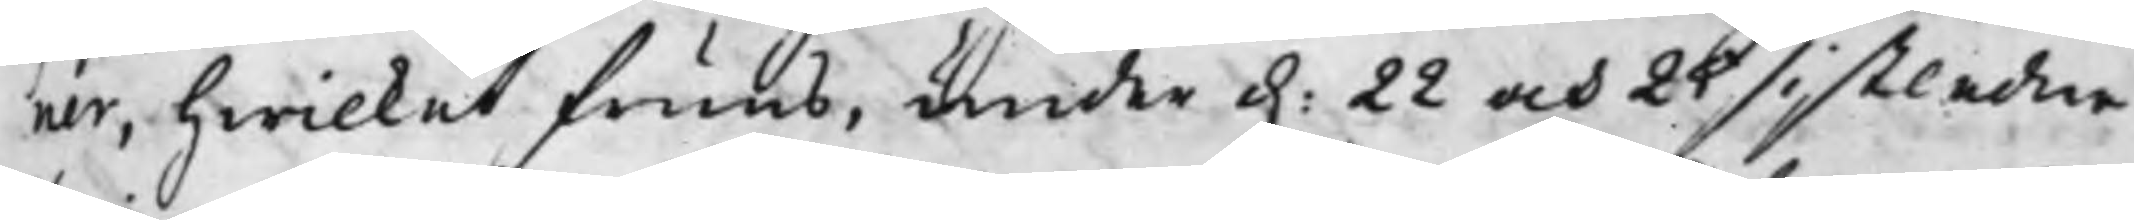ner, hwilket fruns, under d. 22 och 25 sistledne
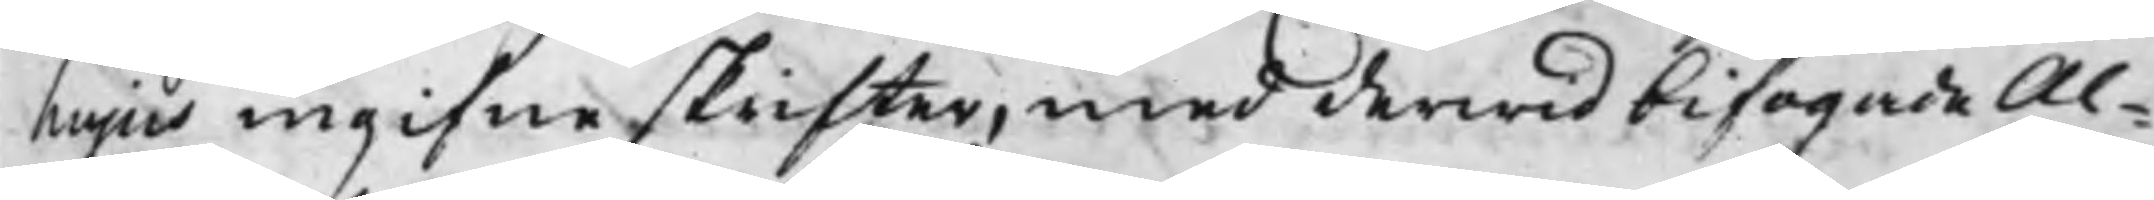hujus ingifne skrifter, med derwid bifogade Al¬
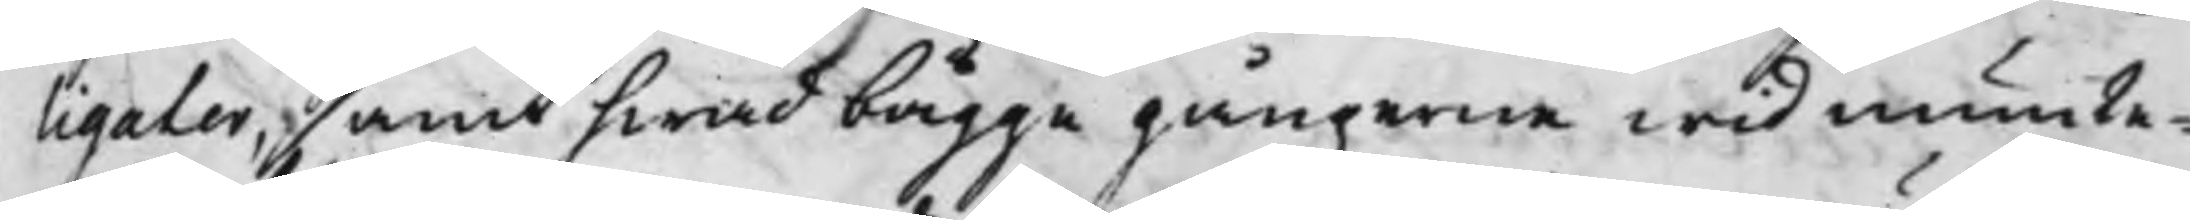ligater, samt hwad bägge gångerne wid munte¬
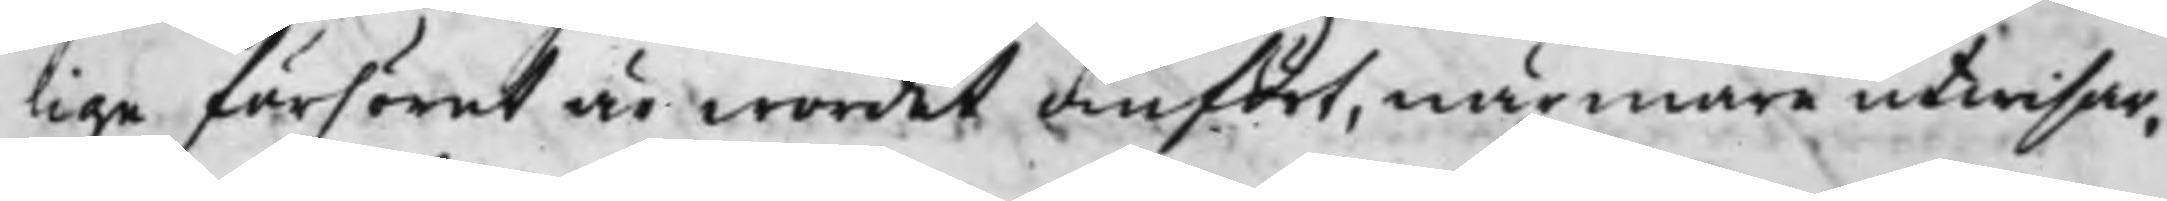lige förhöret är wordet anfört, närmare utwisar,
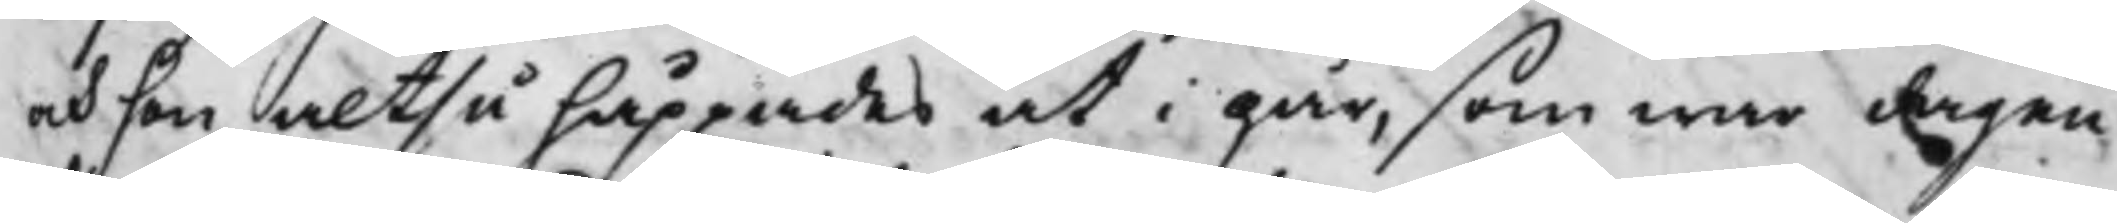och hon altså håppades at i går, som war dagen
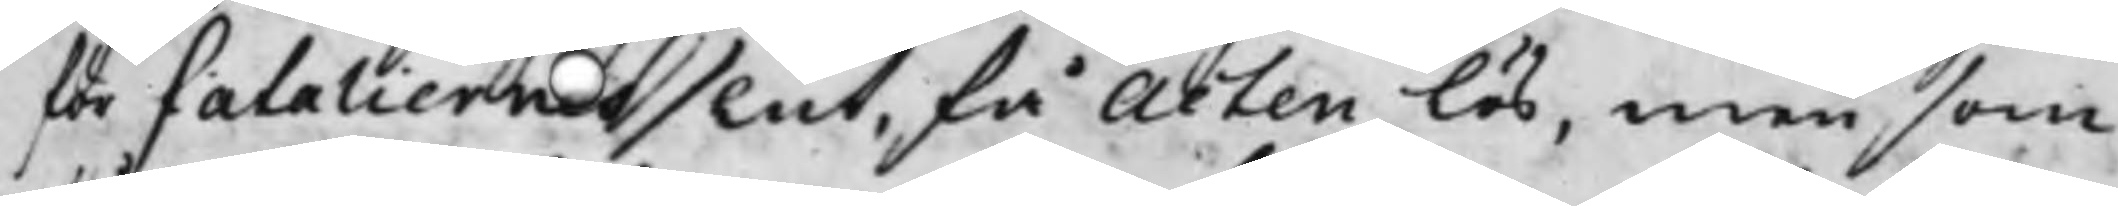för fataliernes slut, få Acten lös, men som
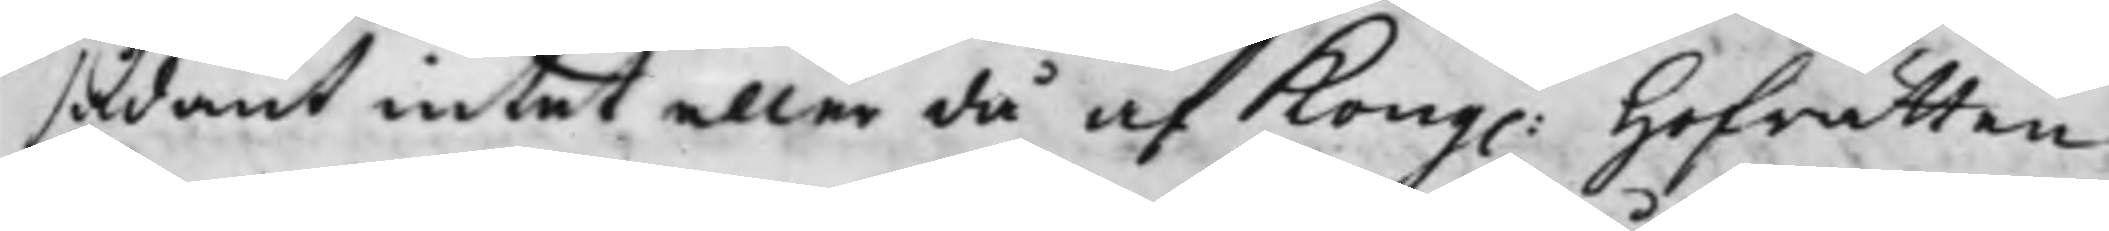sådant intet eller då af Kong: Hoffrätten
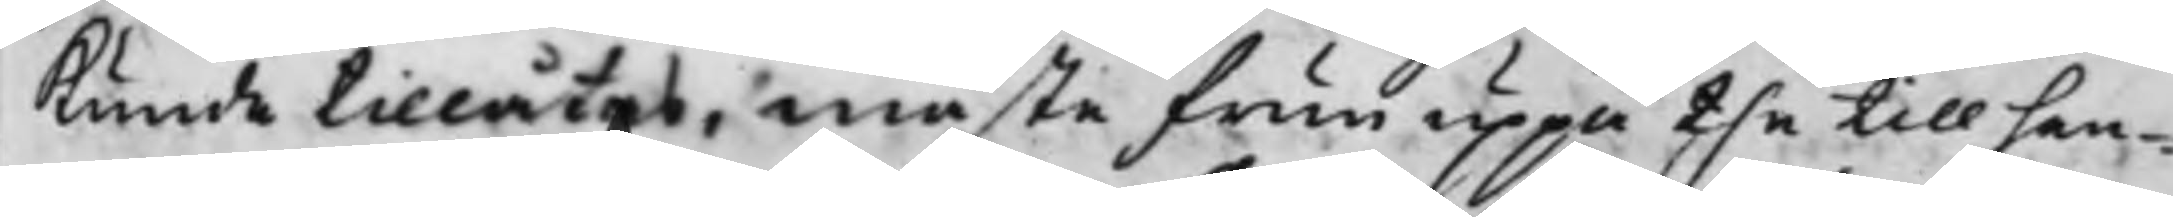kunde tillåtas, måste frun uppå the till hen¬
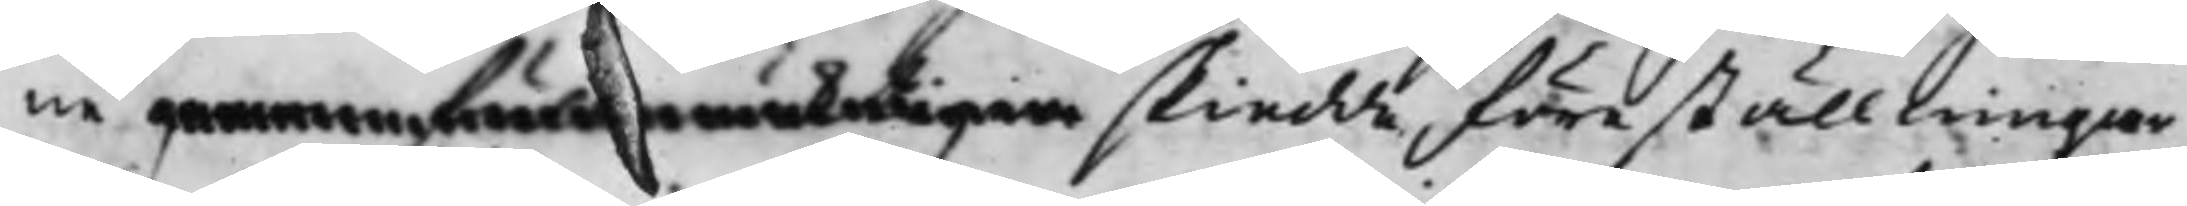ne genom före mäktigen skiedde föreställningar
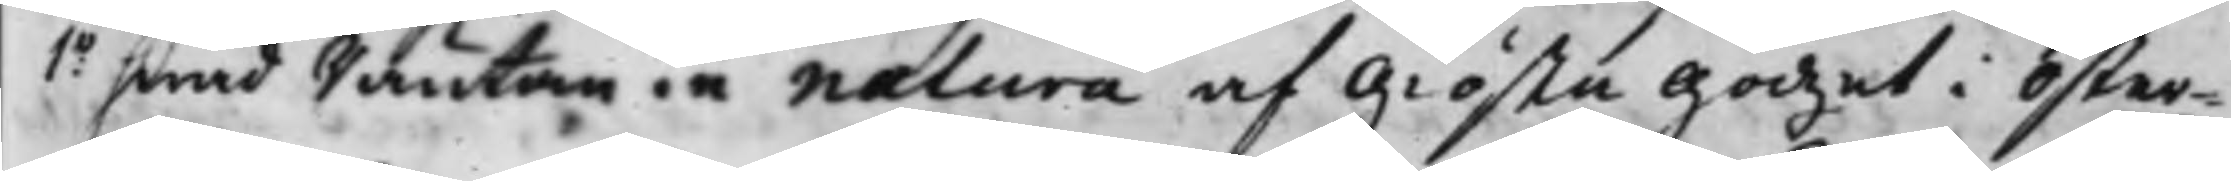1o hwad Räntan in natura af Giösta Godzet i Öster¬
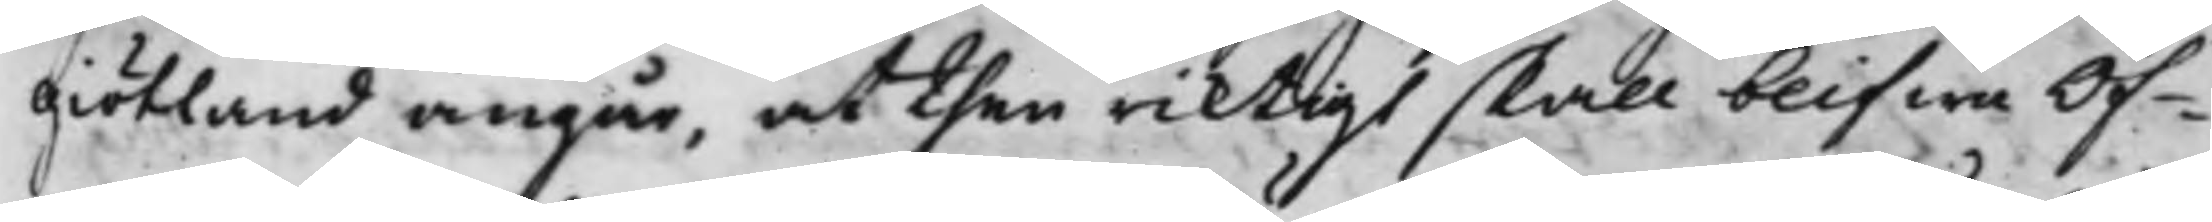Giötland angår, at then riktigt skall blifwa Öf¬
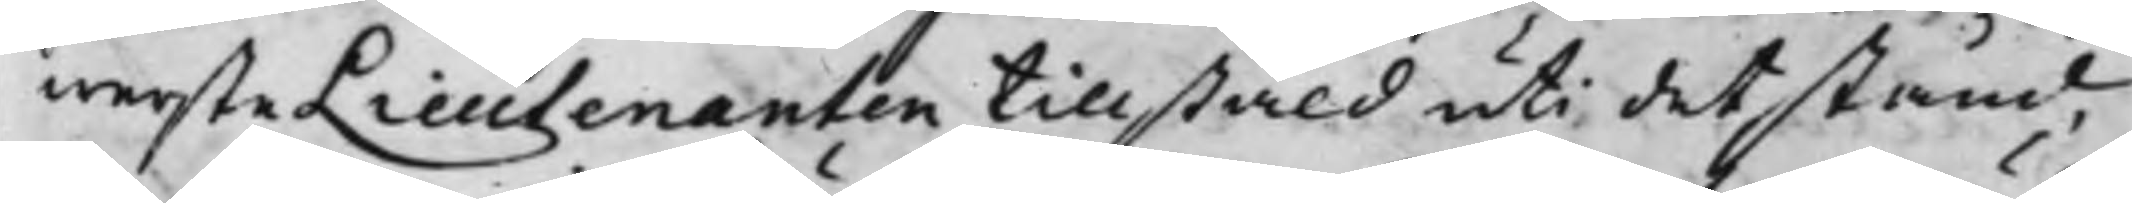wersteLieutenanten tillstäld uti det stånd,
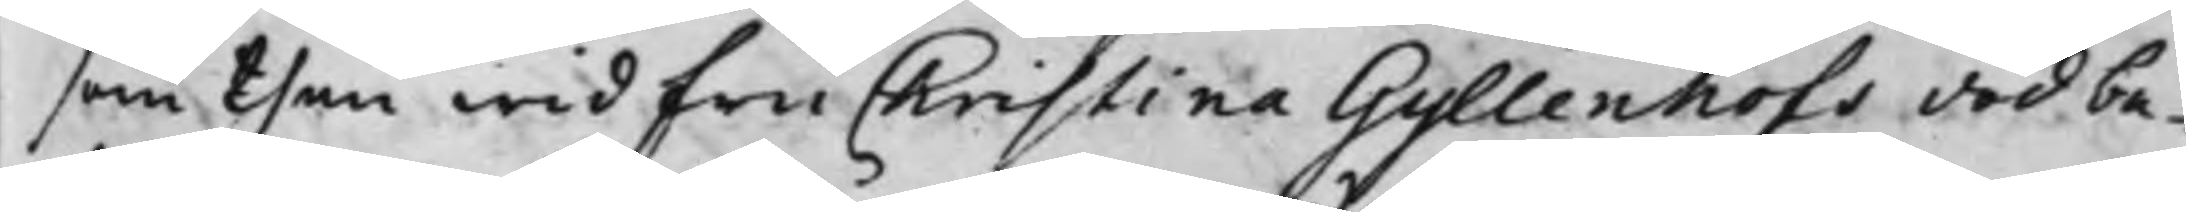som then wid Fru Christina Gyllenhofs död be¬
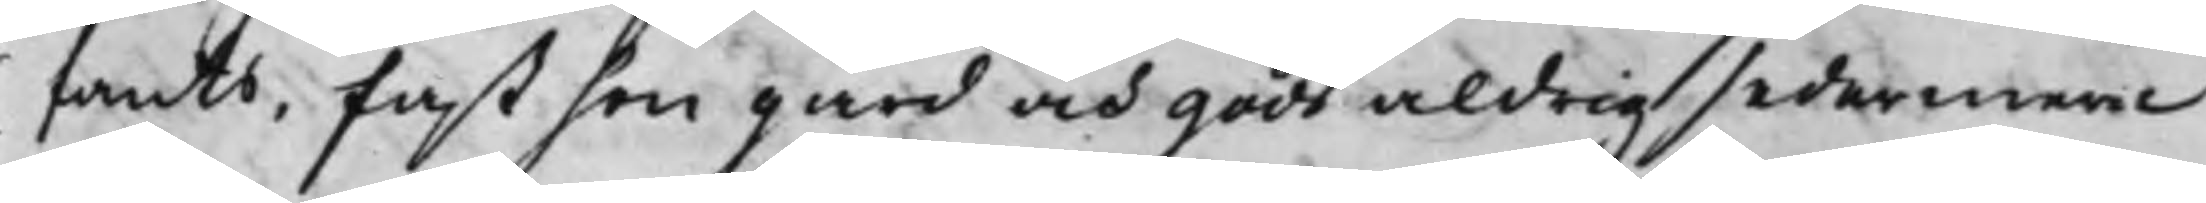fants, fast hon gård och gods aldrig sedermera
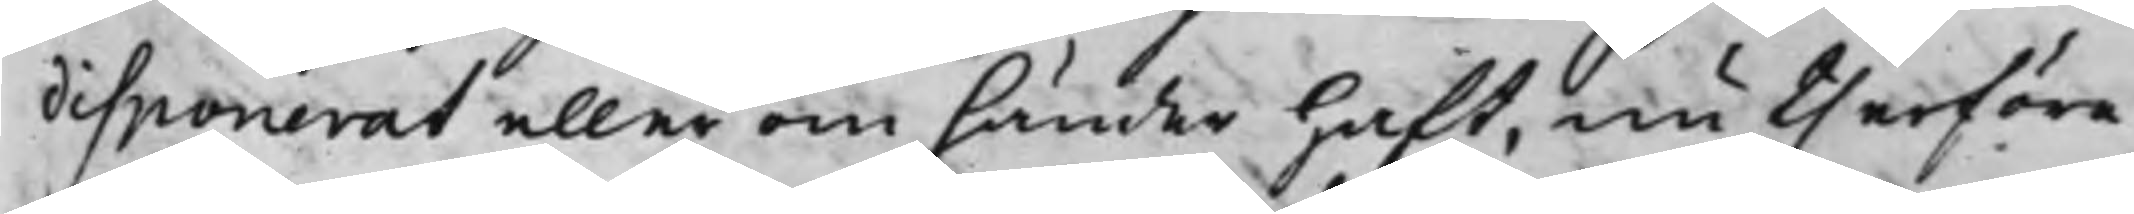disponerat eller om händer haft, nu therföre
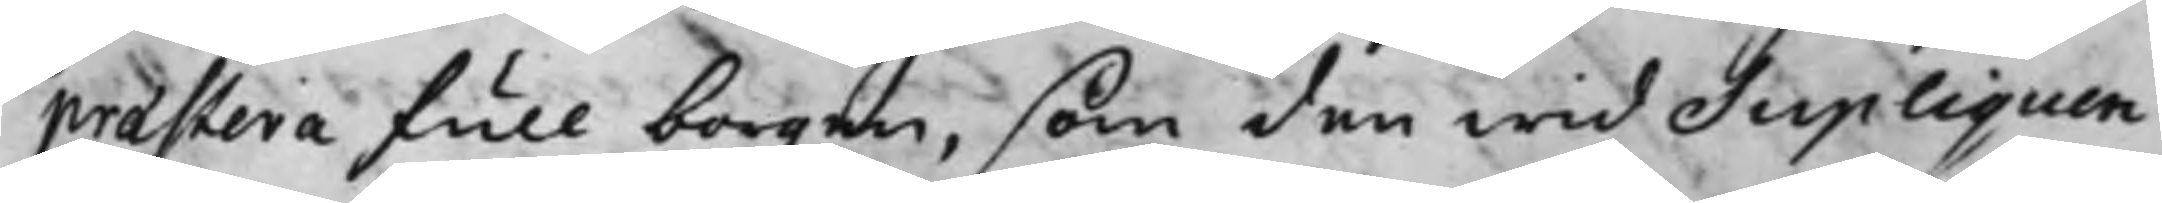præstera full borgen, som den wid Supliquen
